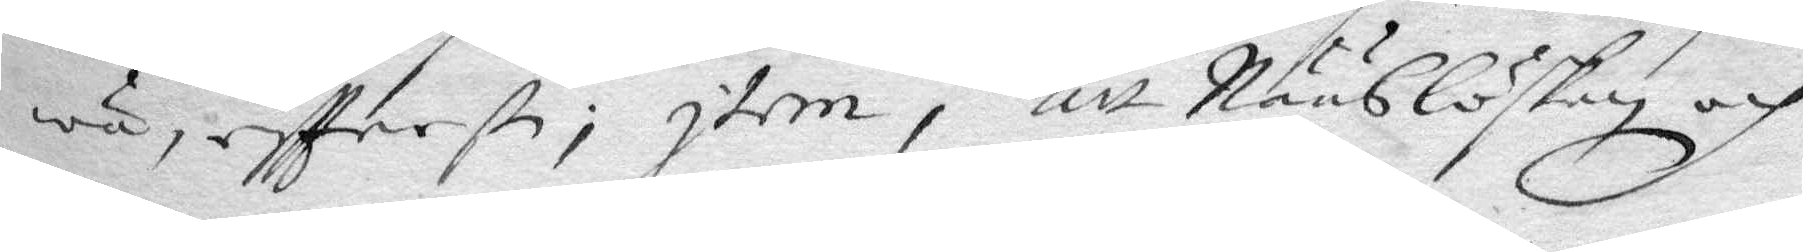wa, eftterste; Item, att Nääslöskan och
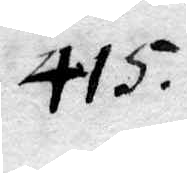415.
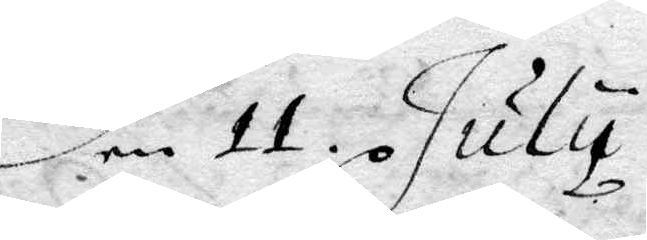den 11. July.
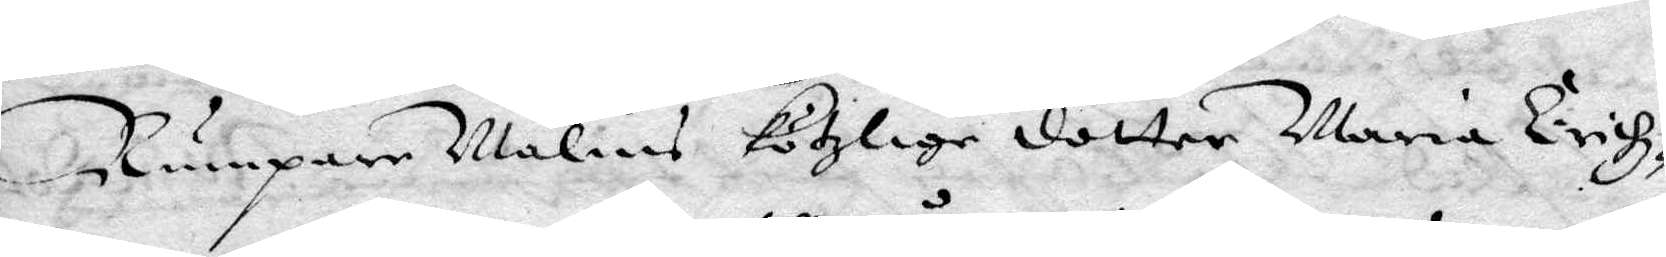Rumpare Malins kötzlige dotter Maria Erikz¬
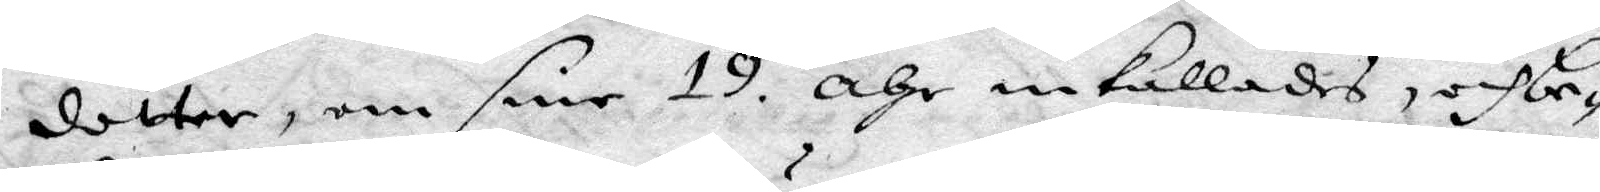dotter om sine 19. åhr inkallades, och be¬
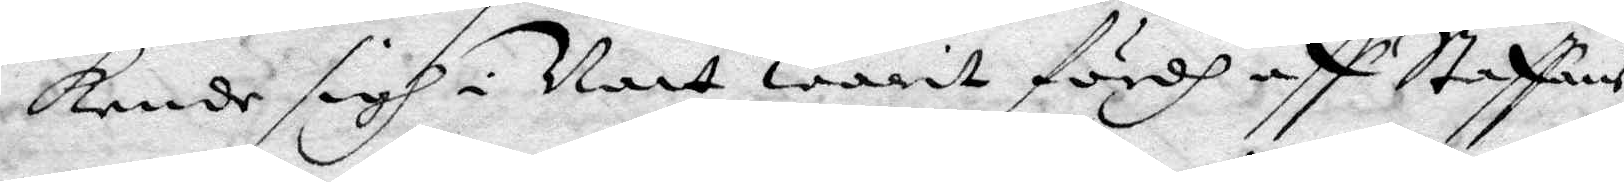kende sigh i Natt warit fördh aff Staffans
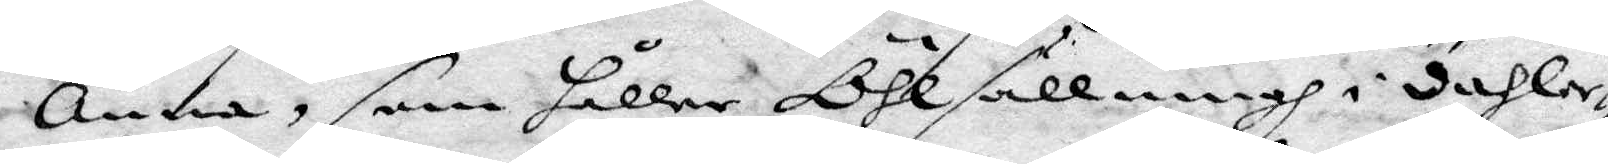Anna, som håller Öhlsällningh i dahler¬
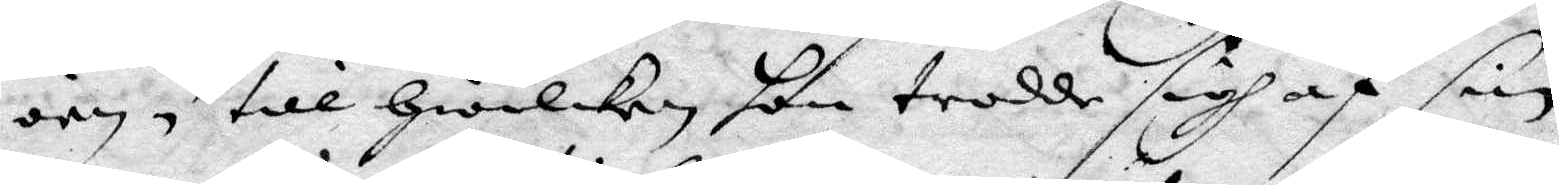öen, till hwilken hon trodde sigh af sin
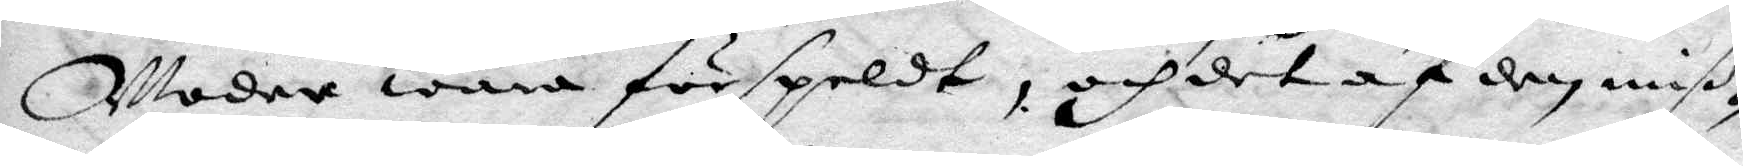Moder wara förspeldt, och det af den miß¬
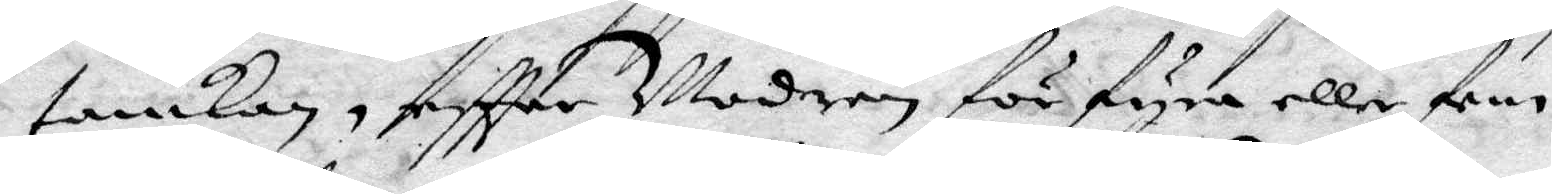tankan, eftter Modern för fyra eller fem
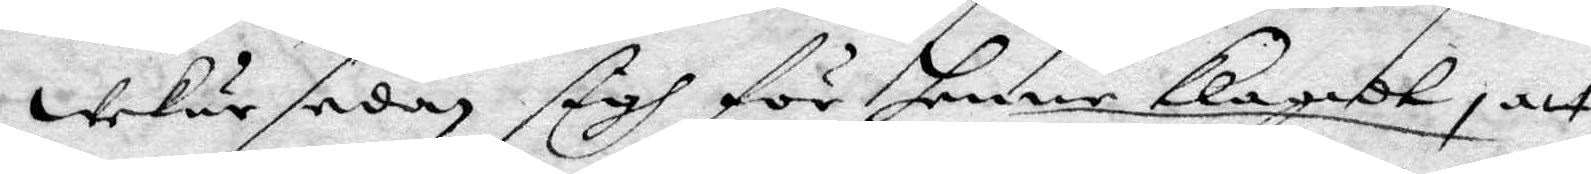wekur sedan sigh för henne klagat, att
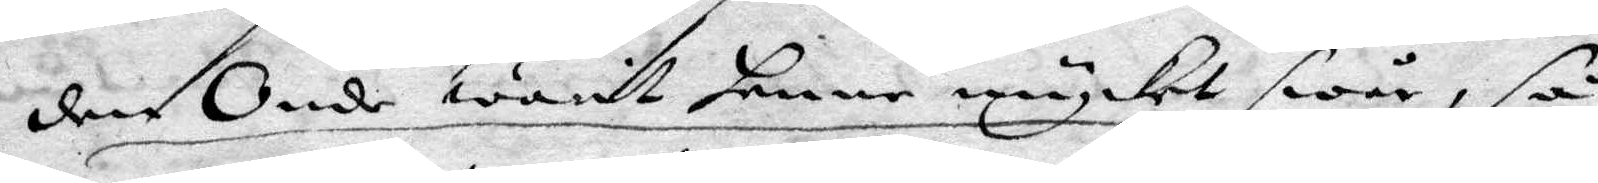den Onde warit henne mycket swår, så
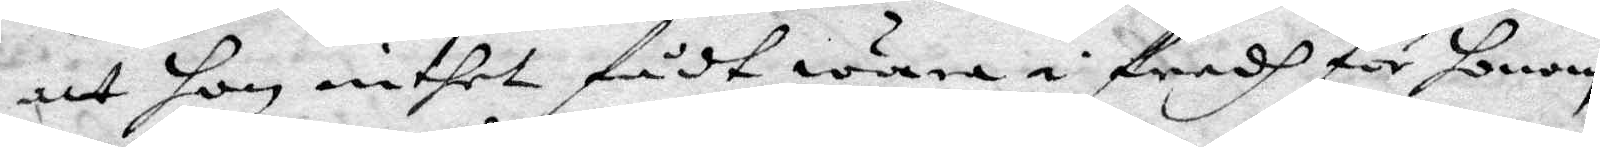att hon intet fådt wara i fredh för honom,
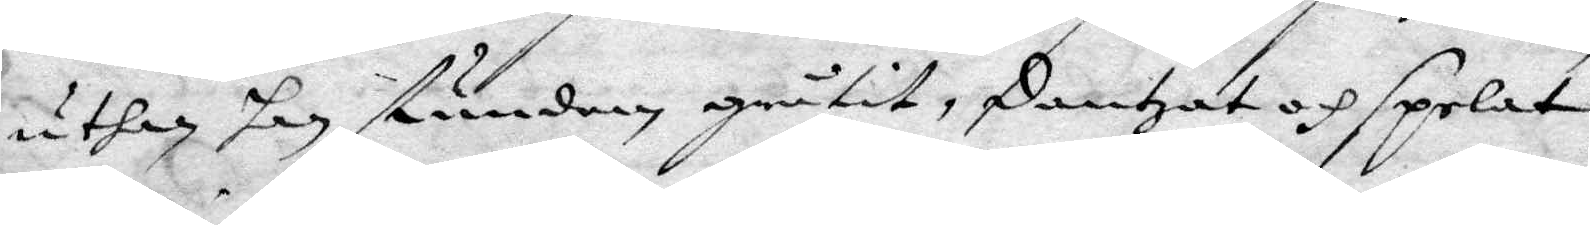uthan han stundom gråtit, dantzat och spelat
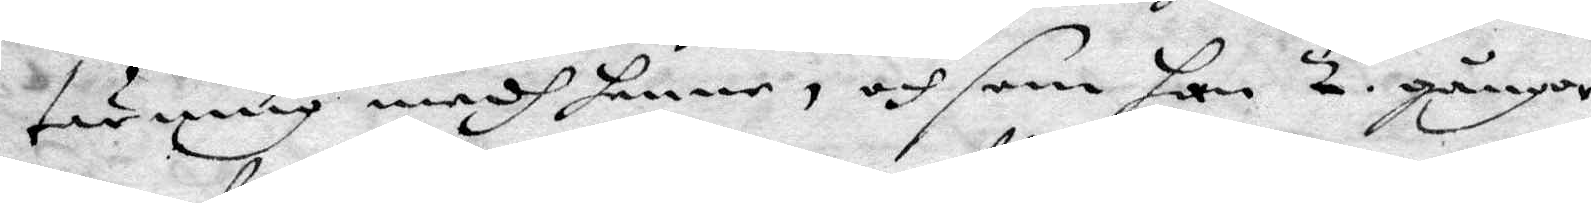tärning medh henne, och som han 2 gånger
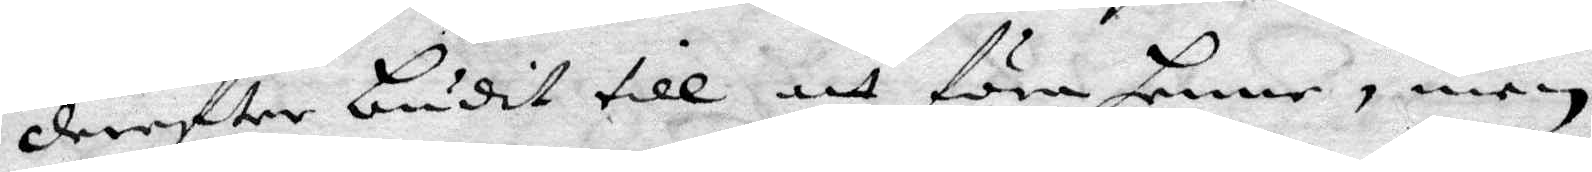dereftter budit till att föra henne, men
